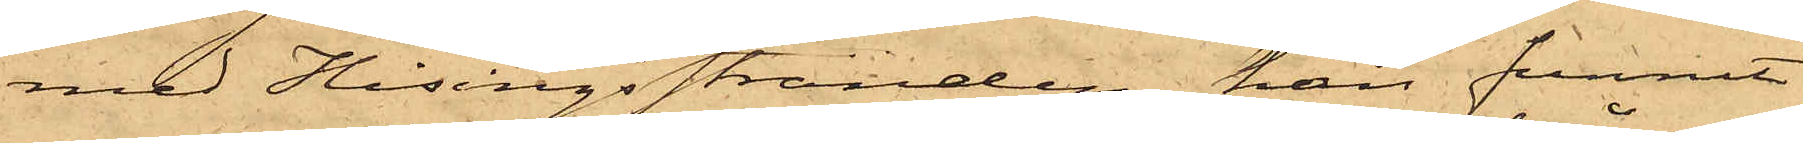med Hisingsstranden, han funnit
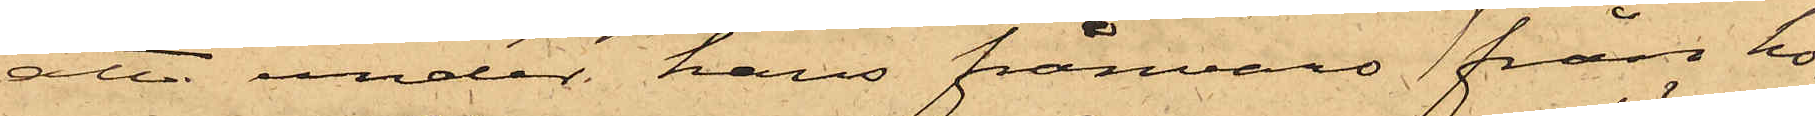att under hans frånvaro från ho¬
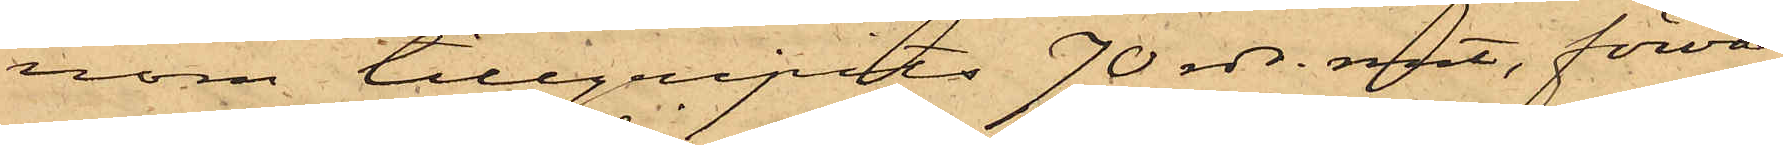nom tillgripits 70 rdr. rmt, förva¬
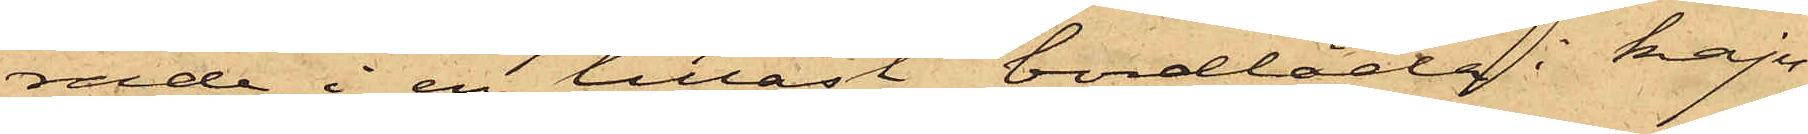rade i en tillåst bordlåda i kaju¬
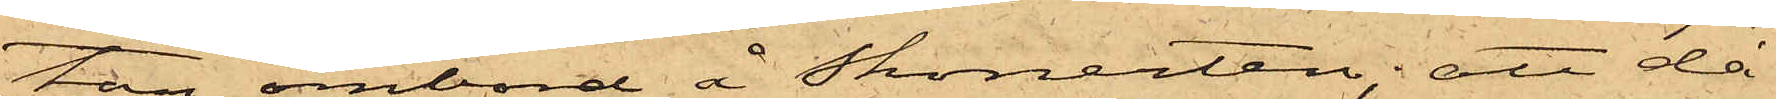tan ombord å Skonerten; att då
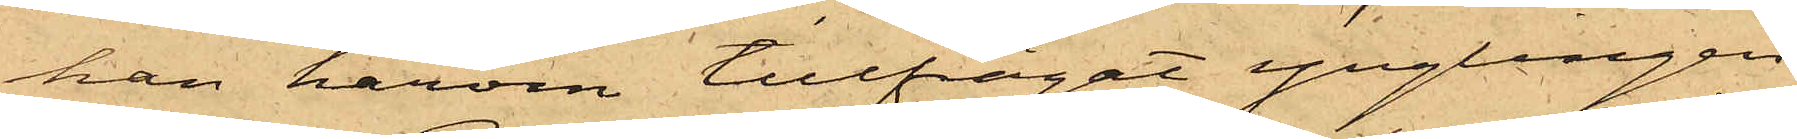han härom tillfrågat ynglingen
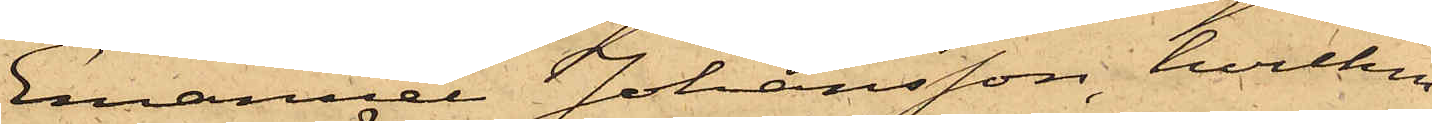Emanuel Johansson, hvilken
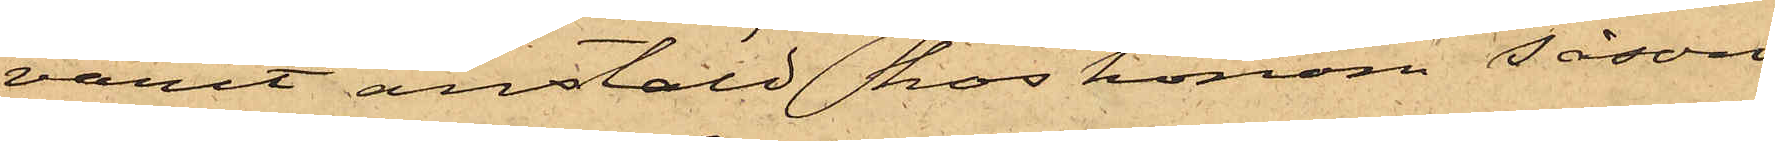varit anstäld hos honom såsom
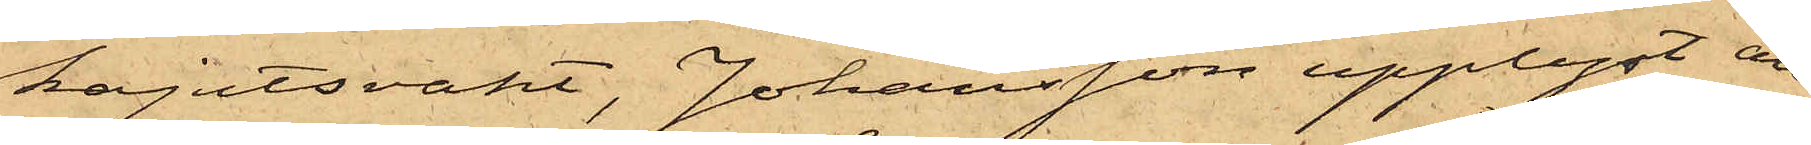kajutsvakt, Johansson upplyst, att
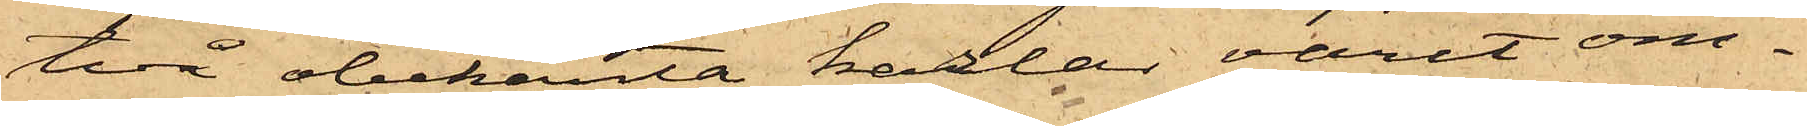två obekanta karlar varit om¬
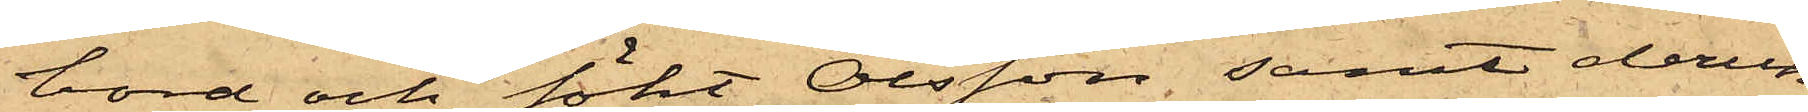bord och sökt Olsson, samt derun¬
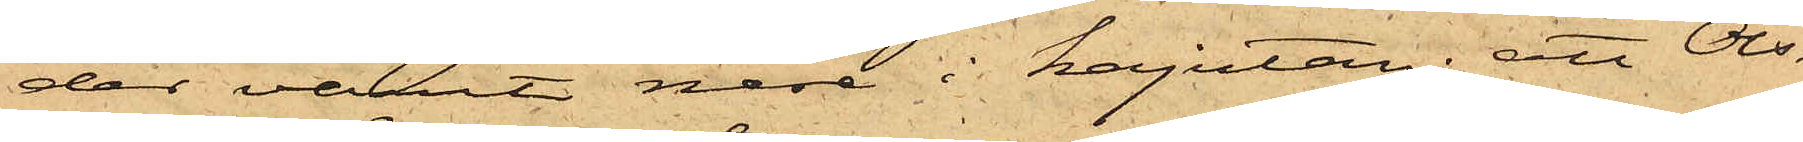der varit nere i kajutan; att Ols¬
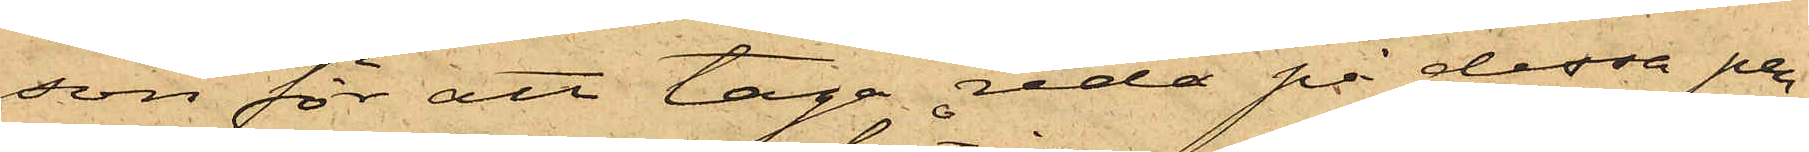son för att taga reda på dessa per¬
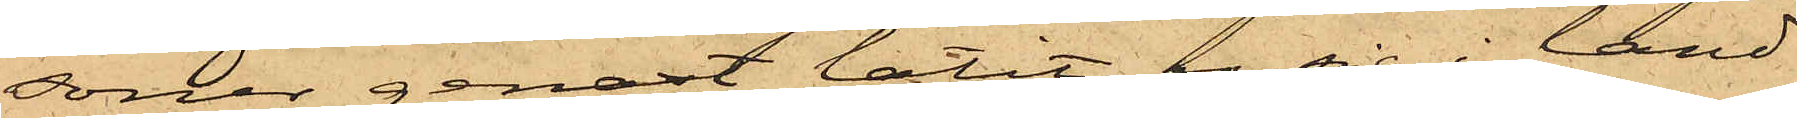soner genast låtit ro sig i land
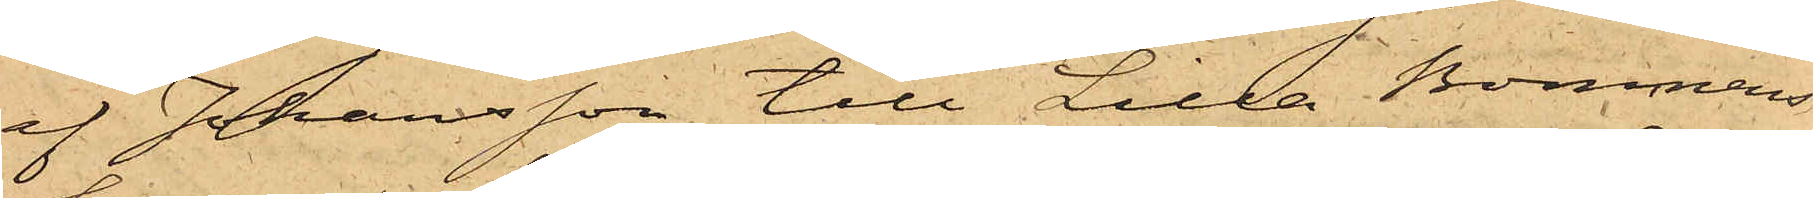af Johansson till Lilla Bommens
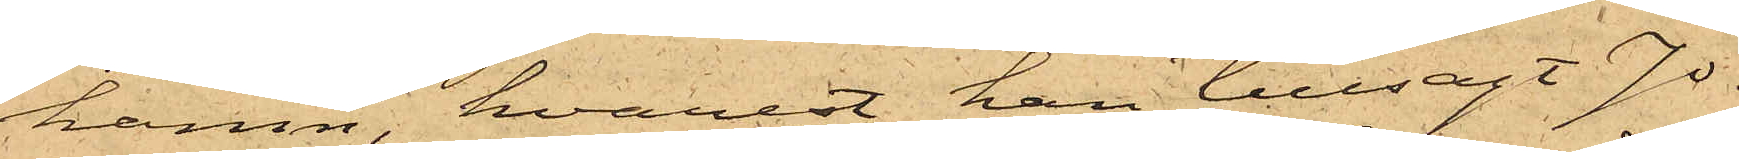hamn, hvarest han tillsagt Jo¬
